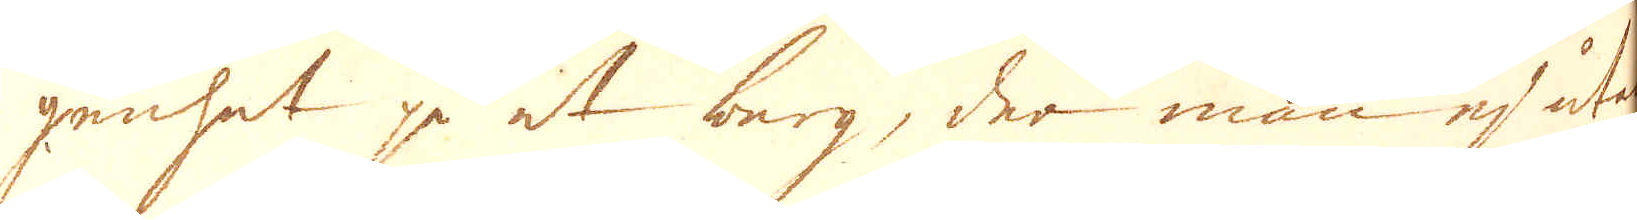genhet på et berg, der man ej utan
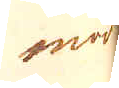möda
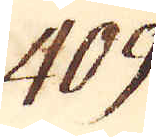409
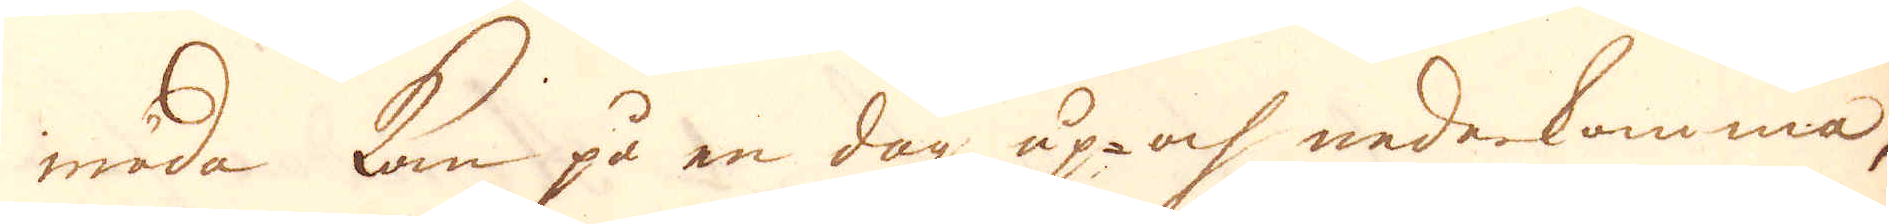möda kan på en dag up- och nederkomma,
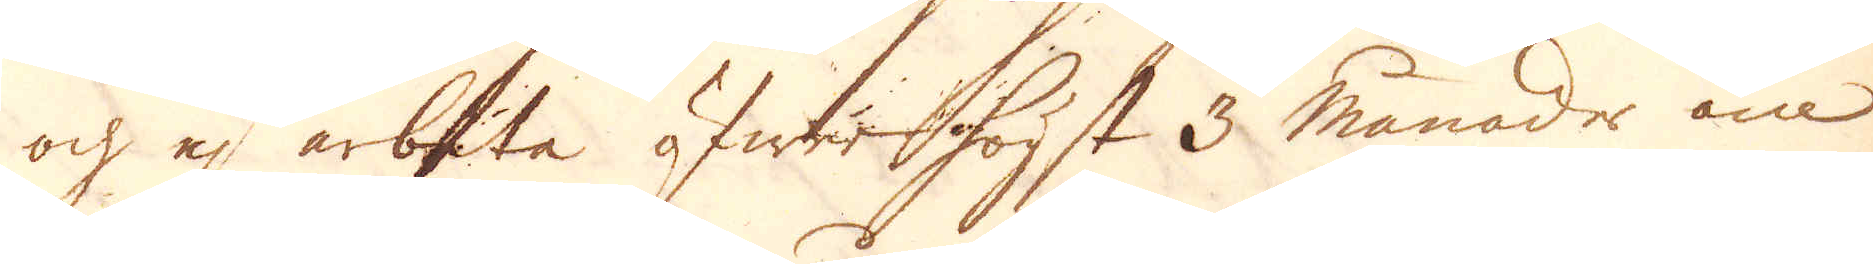och ej arbeta öfwer högst 3 månader om
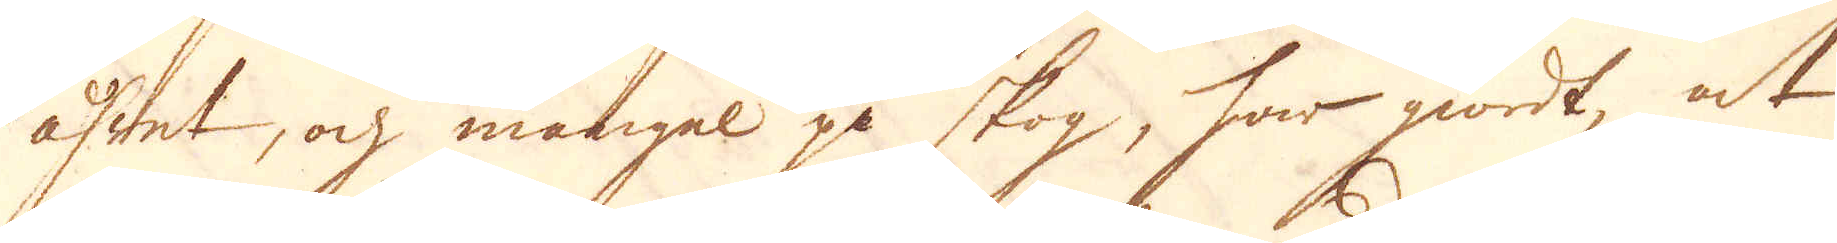åhret, och mangel på skog, har giordt, at
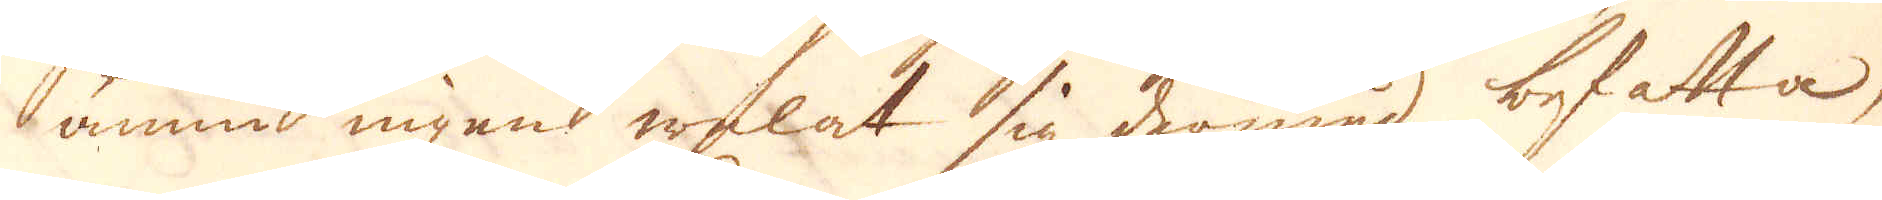ännu ingen welat sig dermed befatta,
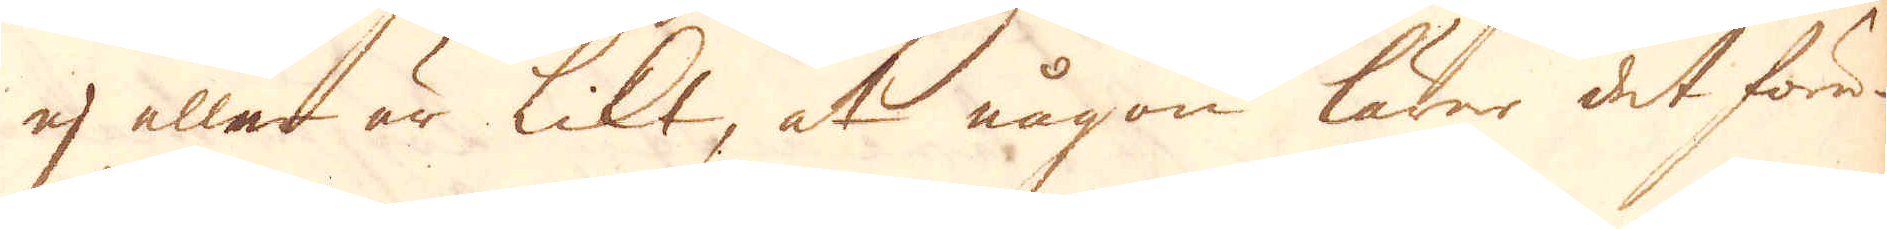ej eller är likt, at någon lärer det före-
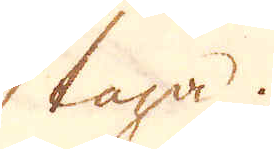taga.
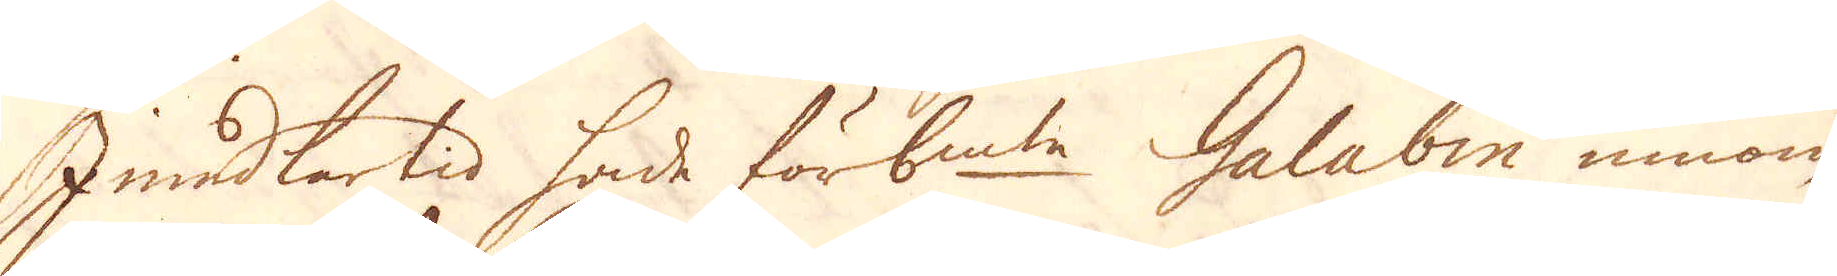Imedlertid hade förbem:te Galabin innom
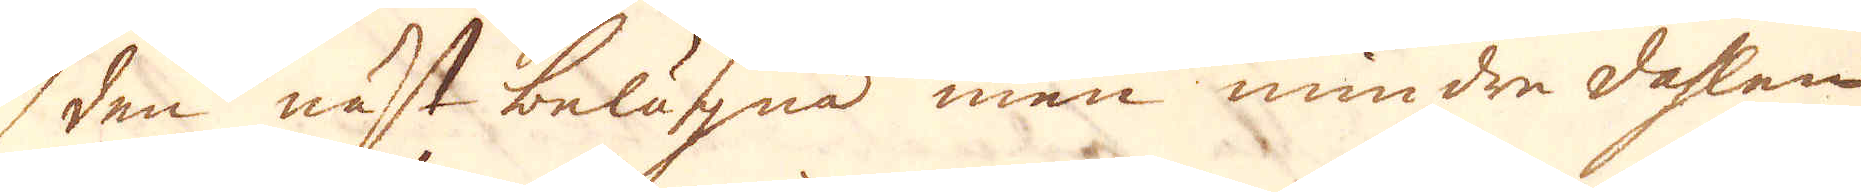den näst belägna men mindre dahlen
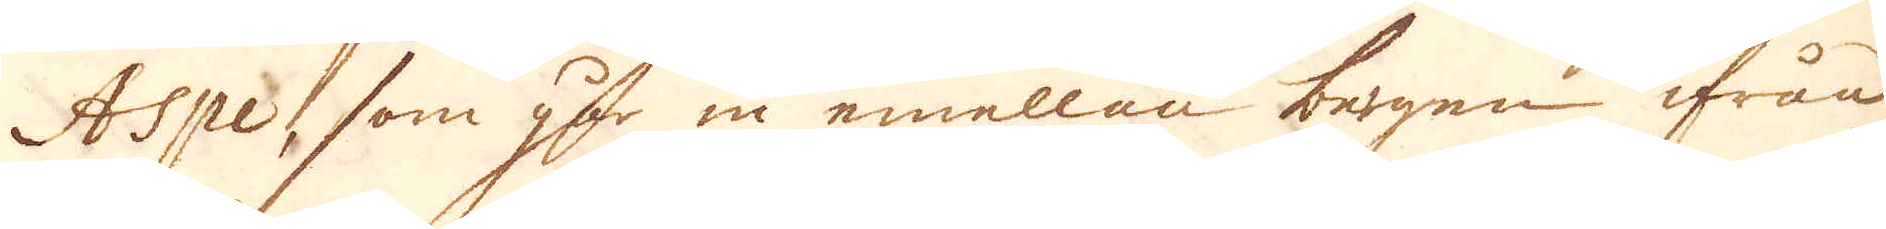Aspe, som går in emellan bergen ifrån
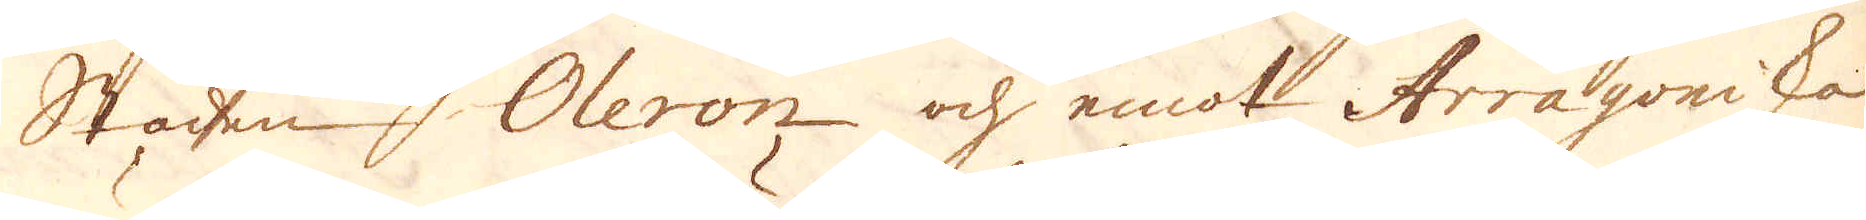Stadnen Oleron och emot Arragoniska
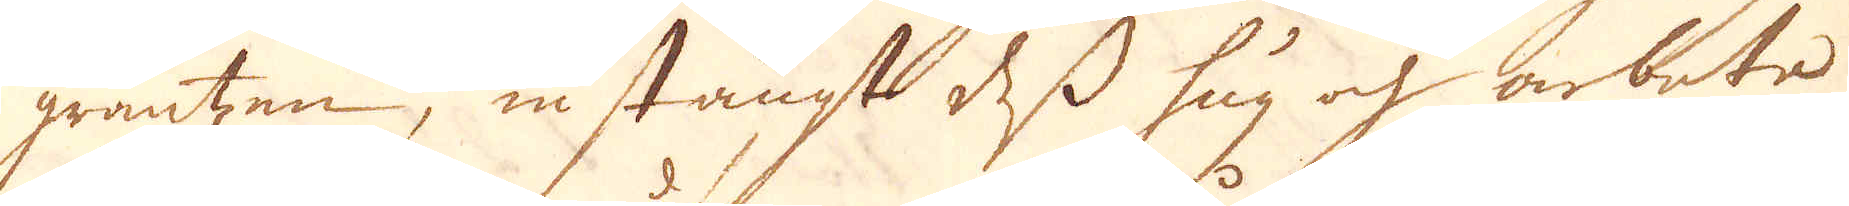gräntzen, instängt dess hug och arbete
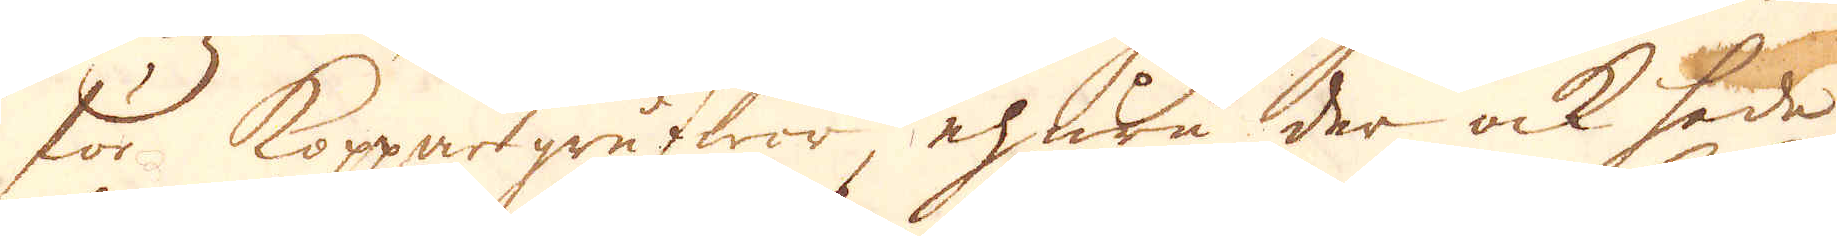för Koppargrufwor, ehuru der ock hade
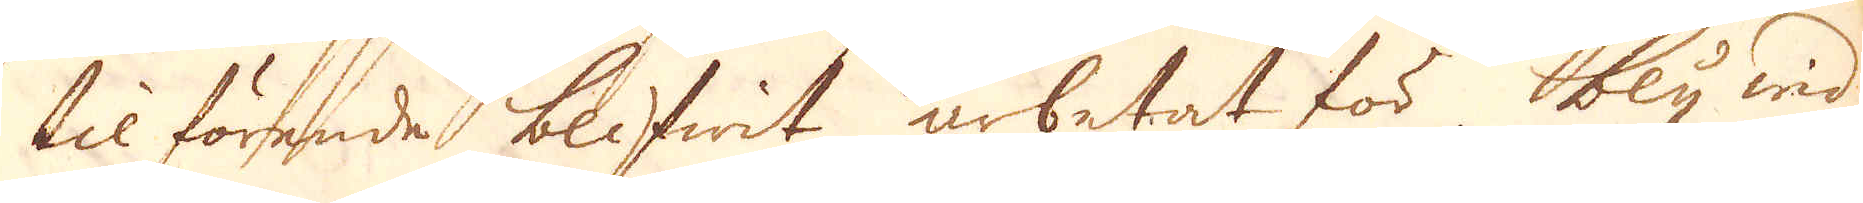tilförende blifwit arbetat för bly wid
